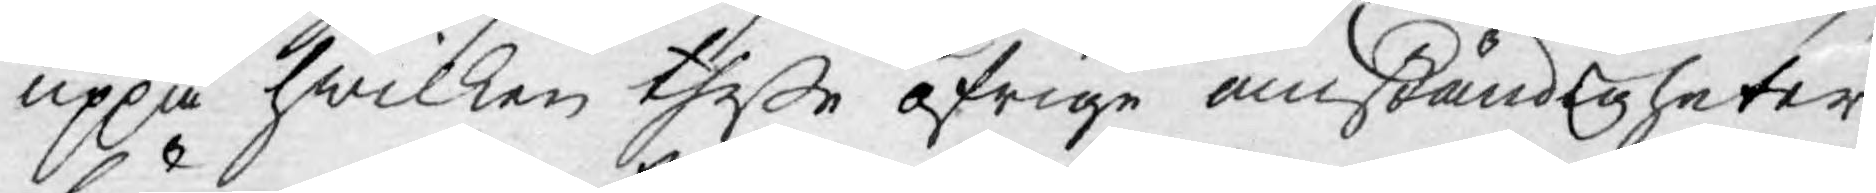uppå hwilken theße öfrige omständigheter
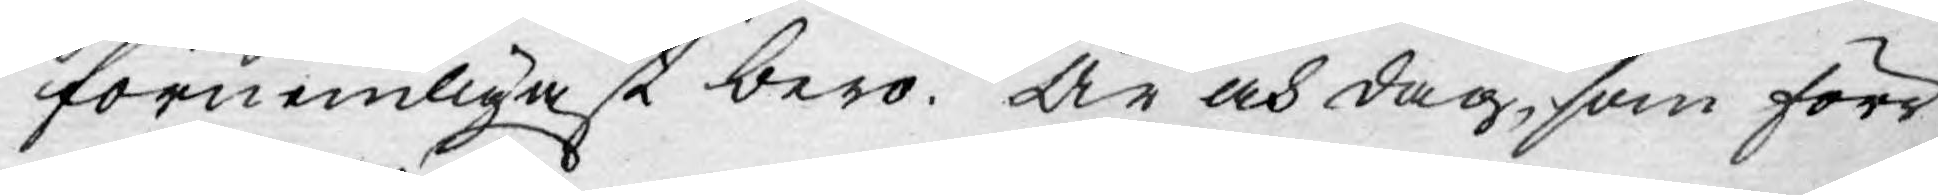förnemligast bero. År och dag, som förr
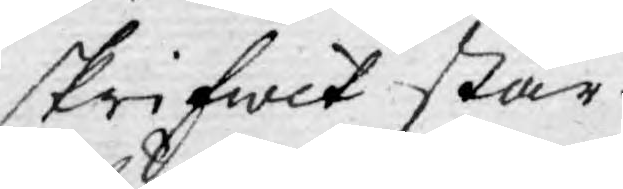skrifwit står.
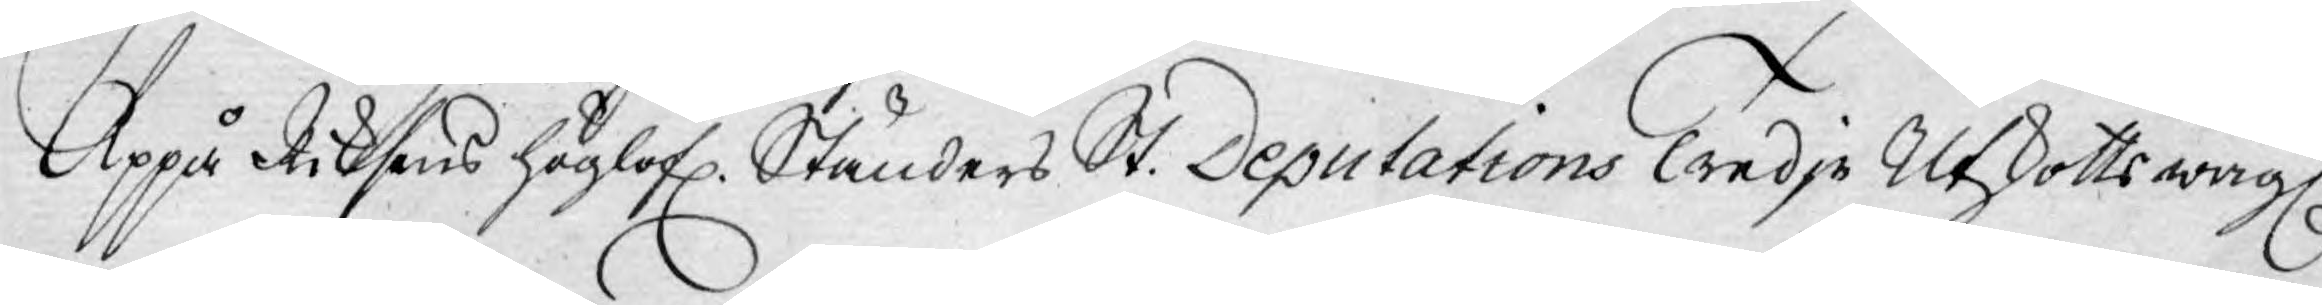Uppå Riksens Höglofl. Ständers St. Deputations Tredje Utskotts wägl.
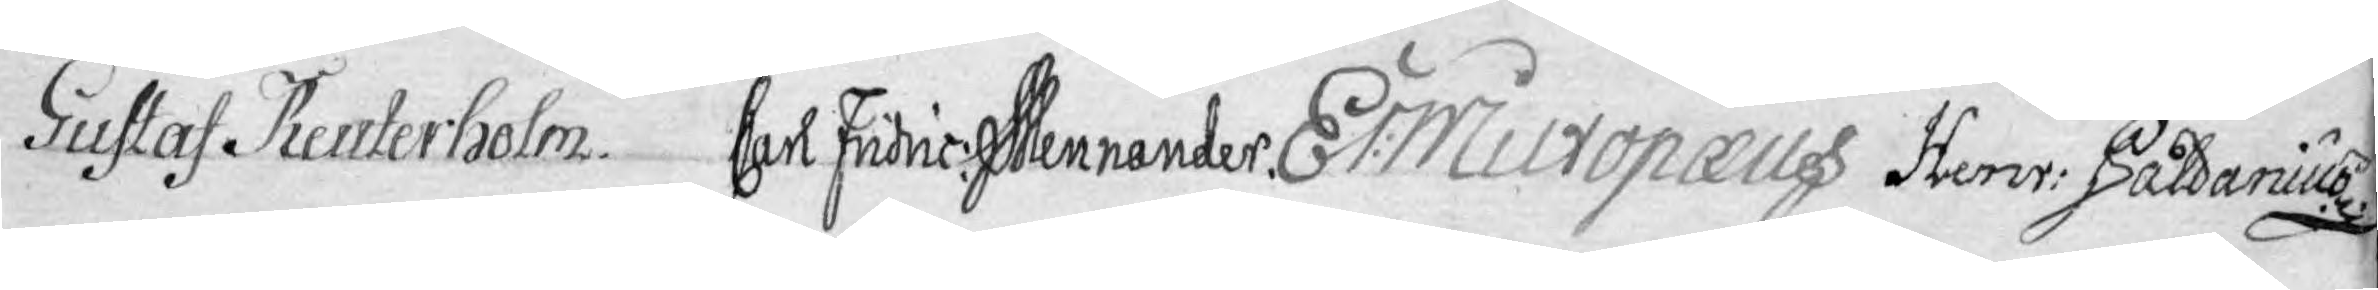Gustaf Reuterholm. Carl Fridric Mennander. Er: Miltopæus Henr: Paldanius
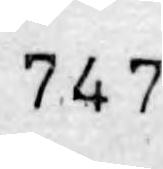747
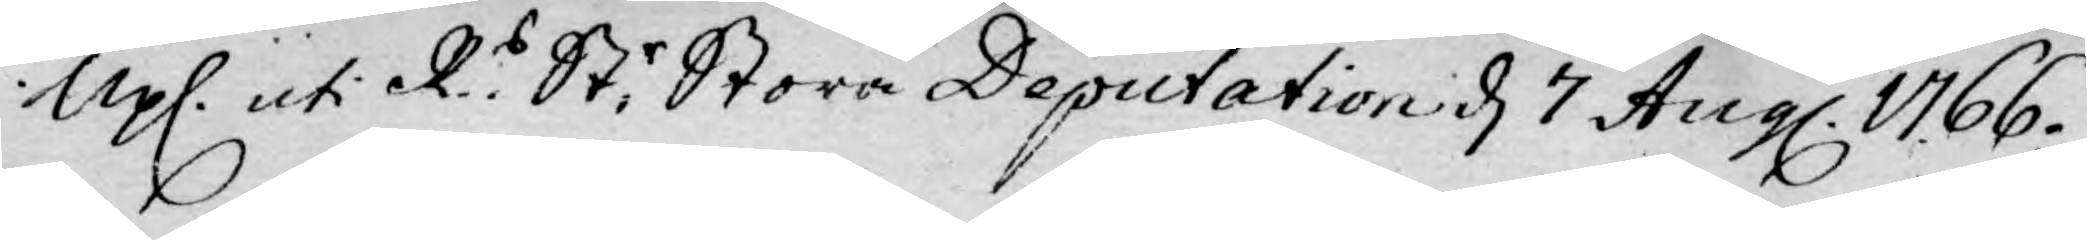Upl. uti R.s: St:r Stora Deputation d 7 Aug. 1766.
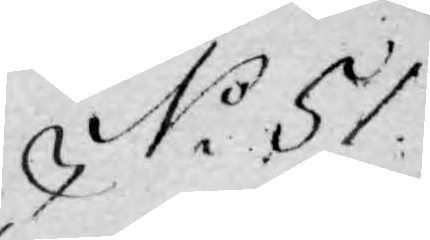No. 51.
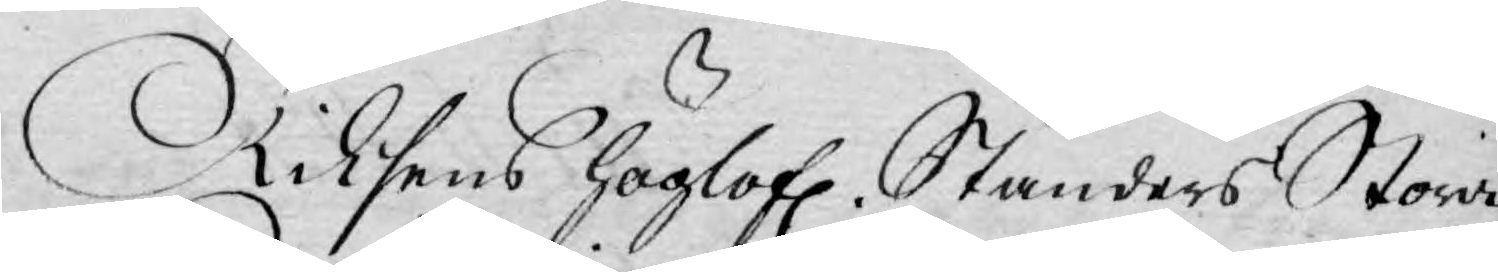Riksens Höglofl. Ständers Stora
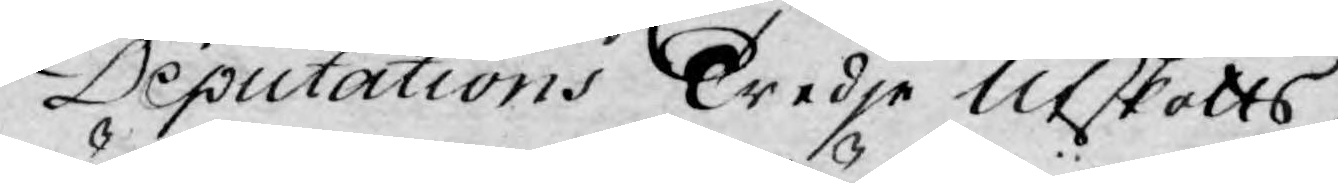Deputations Tredje Utskotts
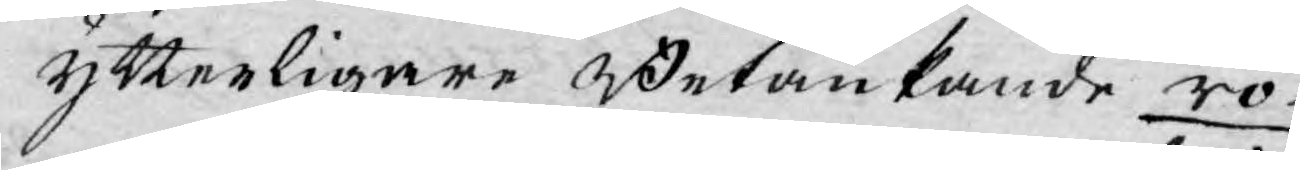ytterligare Betänkande rö¬
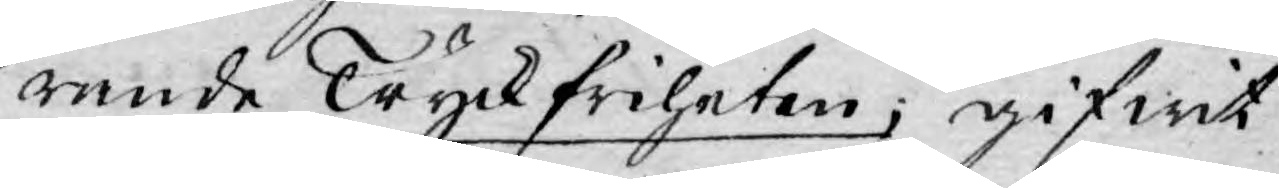rande Tryckfriheten, gifwit
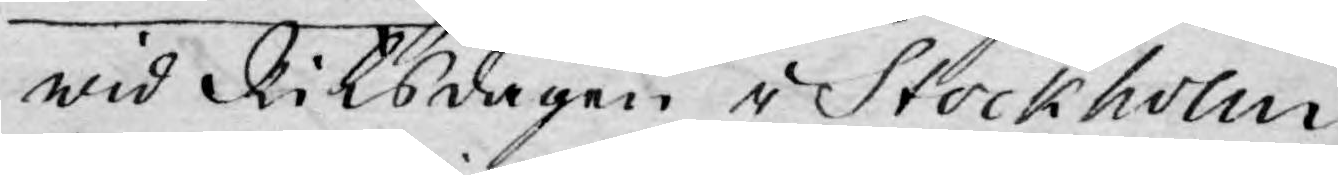wid Riksdagen i Stockholm
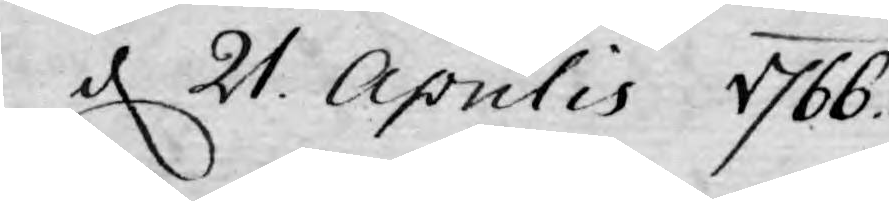d 21. Aprilis 1766.
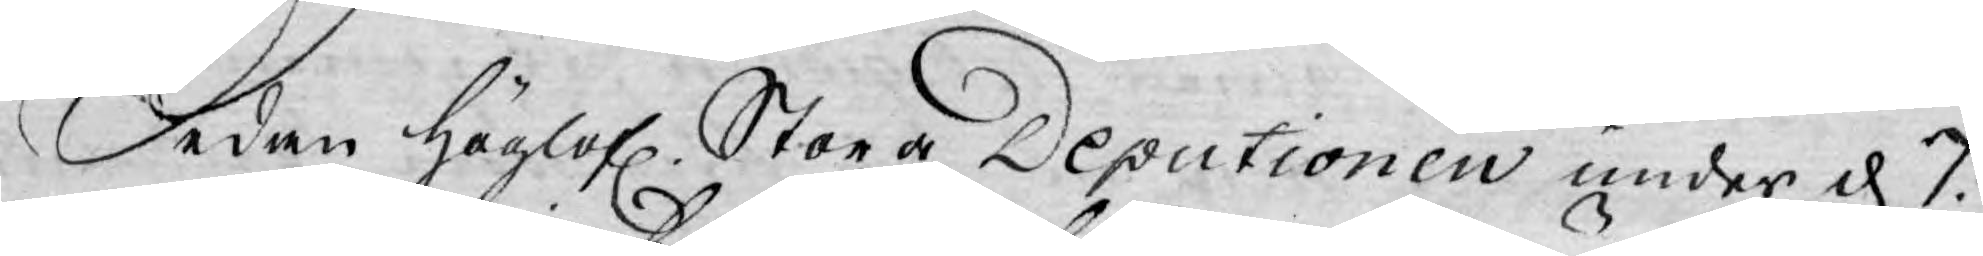Sedan Höglofl. Stora Deputionen under d. 7.
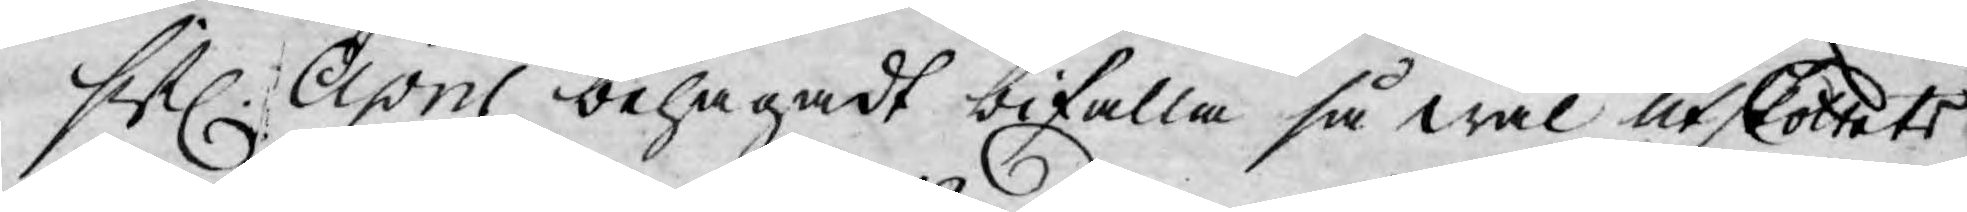sistl. April behagadt bifalla så wäl Utskottets
